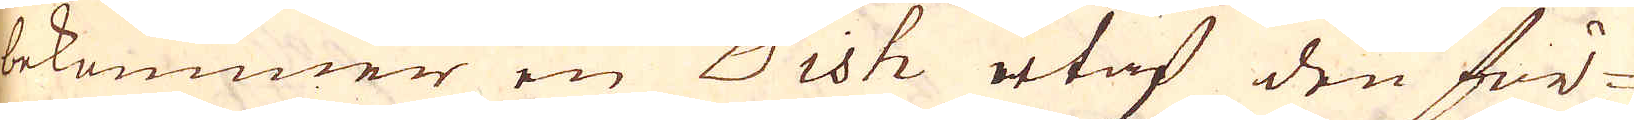bekommer en Dish utaf den för-
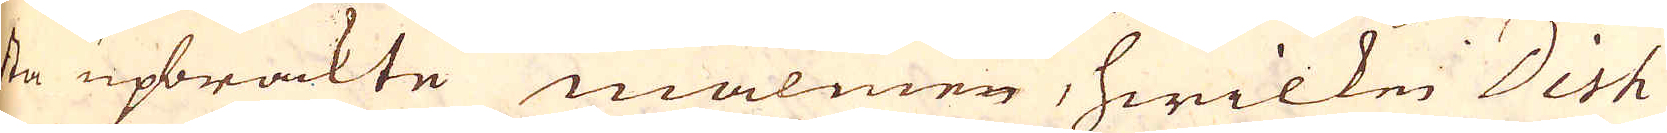sta upbrackte malmen, hwilken Dish
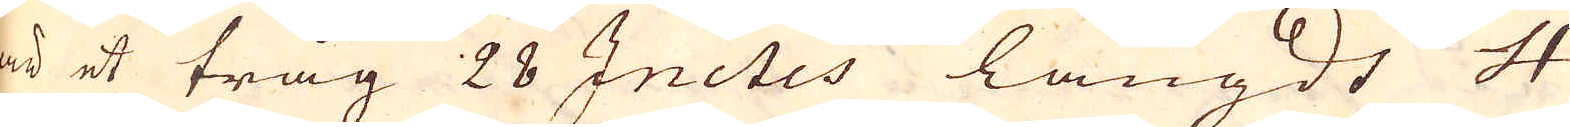är et tråg 28 Inctes långdt 4
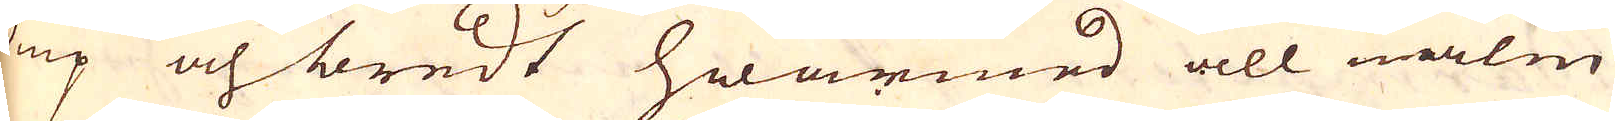diup och bredt hwarmed all malm
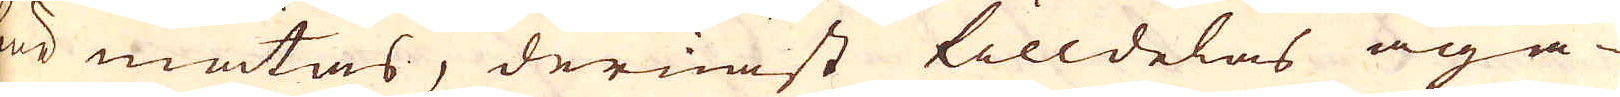bör mätas, dernäst tilldelas äga-
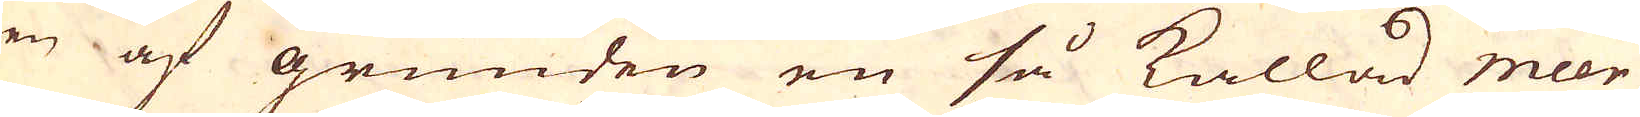ren af grunden en så kallad meer
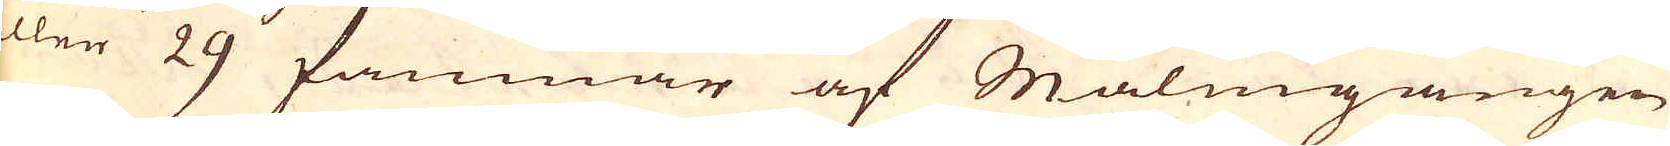eler 29 famnar af Malmgången
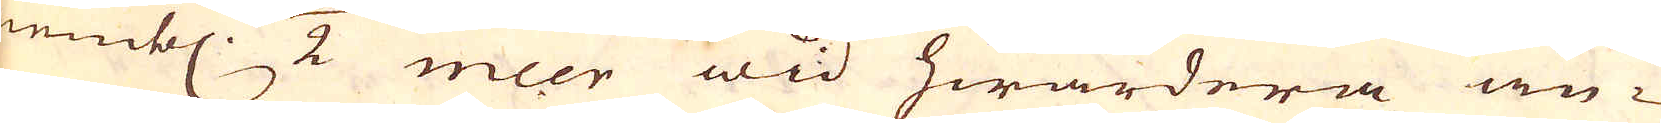nembl: 1/2 meer wid hwardera än-
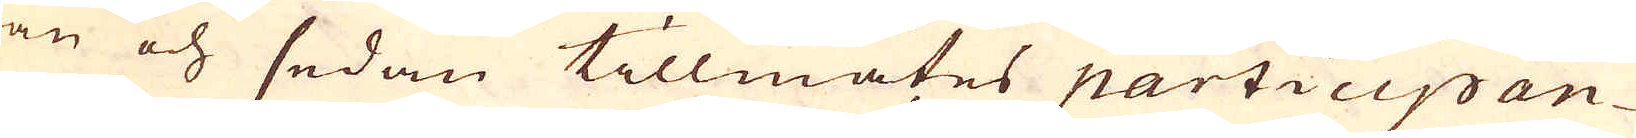dan och sedan tillmätes participan-
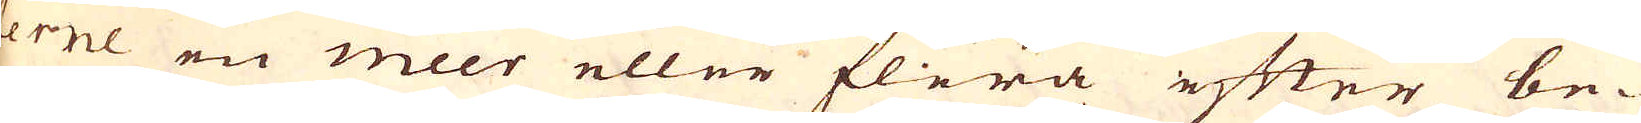terne en meer eller flera efter be-
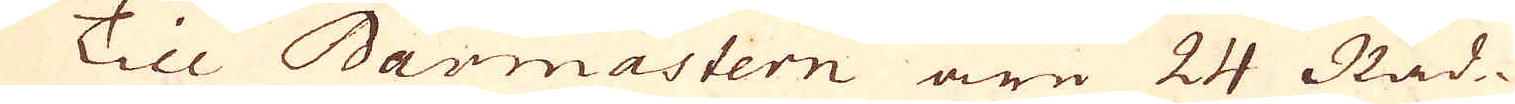hag. Till Barmastern äre 24 Råd-
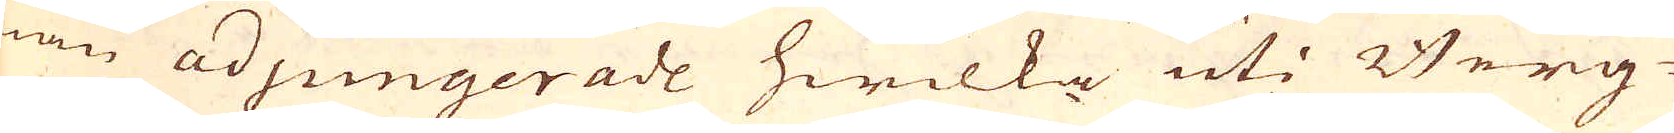män adjungerade hwilka uti Berg-
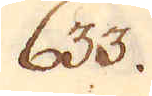633.
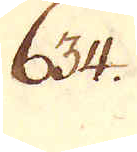634.
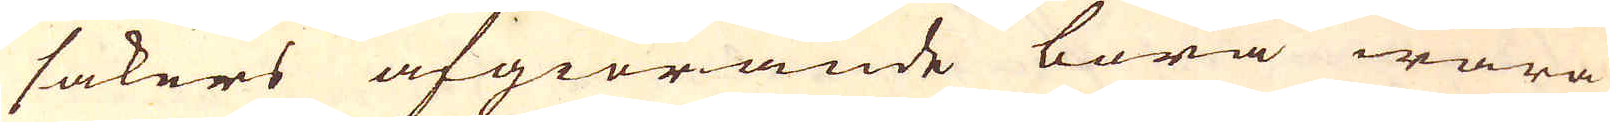sakers afgiörande böra wara
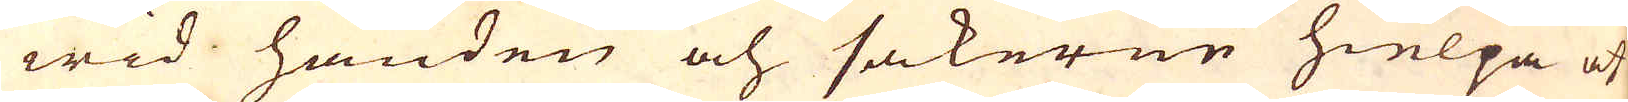wid handen och sakerne hielpa at
